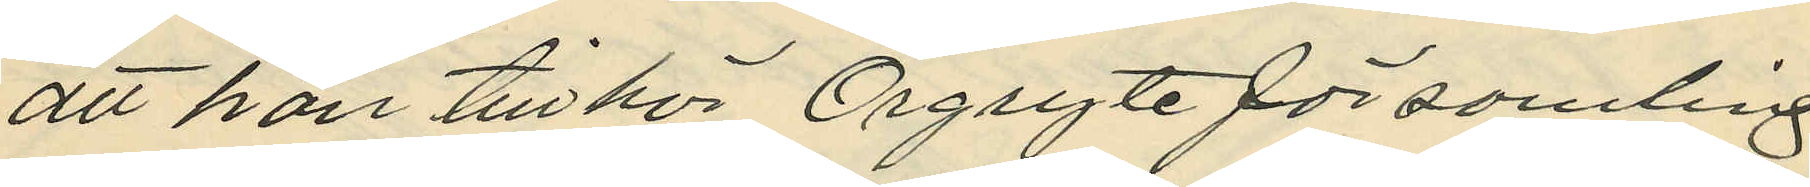att han tillhör Örgryte församling
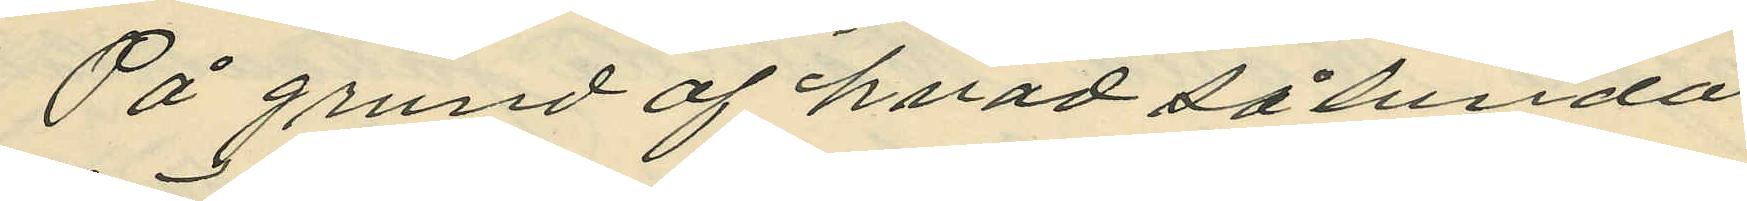På grund af hvad sålunda
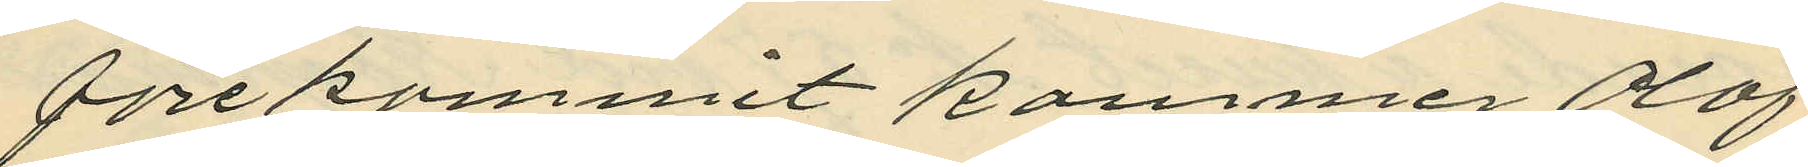förekommit kommer Olof
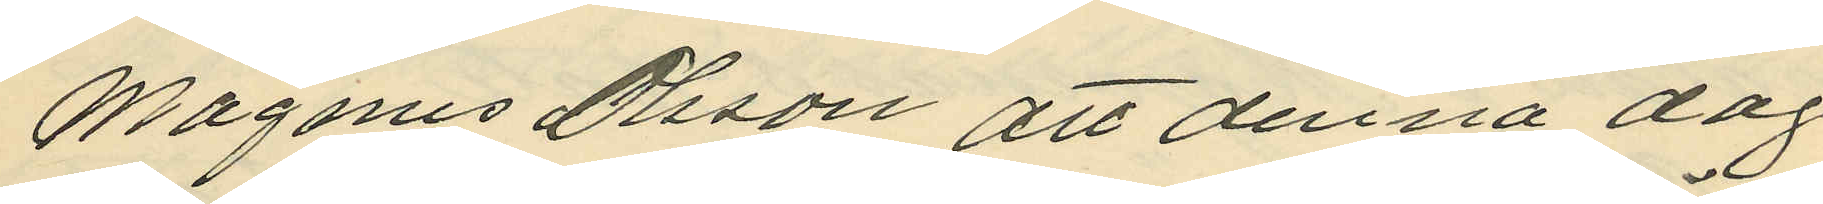Magnus Olsson att denna dag
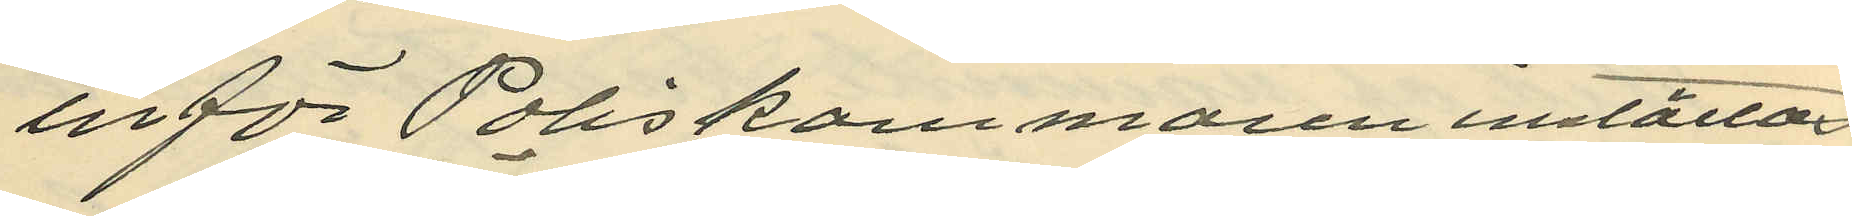inför Poliskammaren inställas
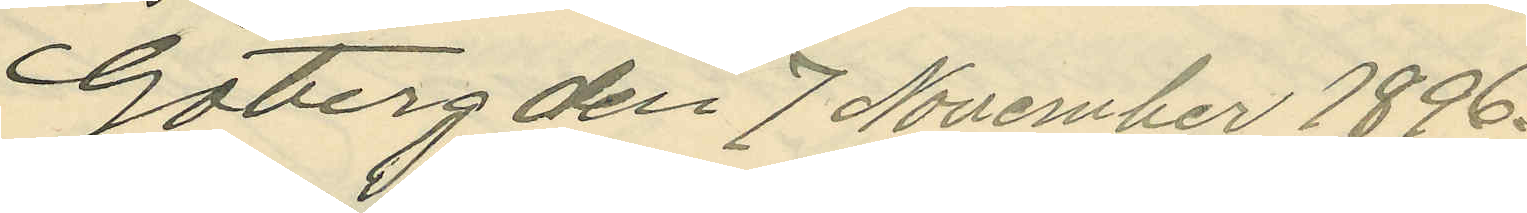Göterg den 7 November 1896.
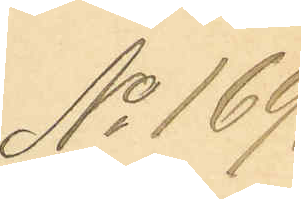No 169,
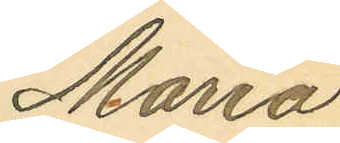Maria
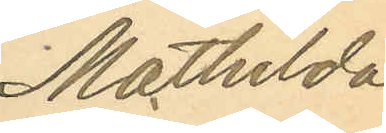Mathilda
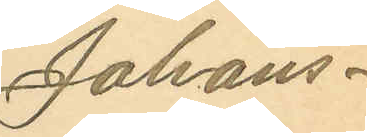Johans¬
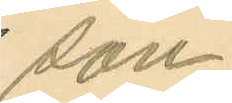son.
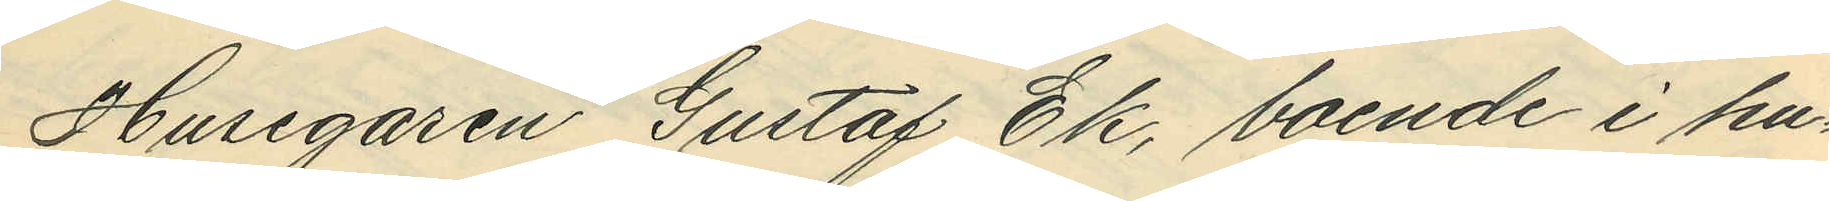Husegaren Gustaf Ek, boende i hu¬
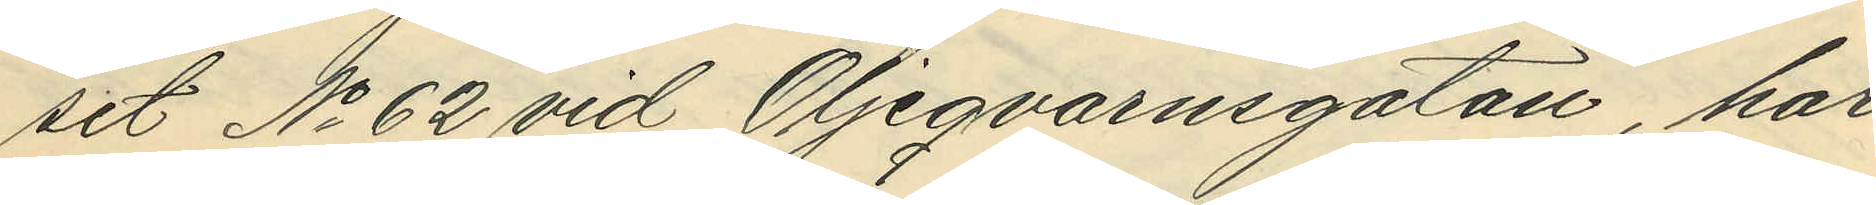set No 62 vid Oljeqvarnsgatan, har
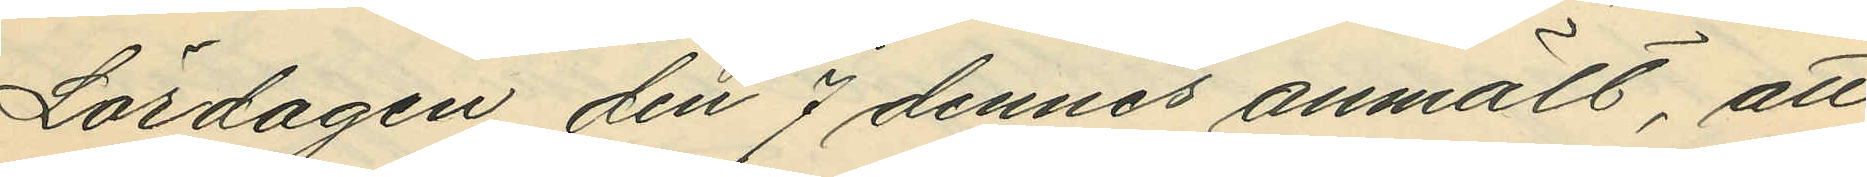Lördagen den 7 dennes anmält, att
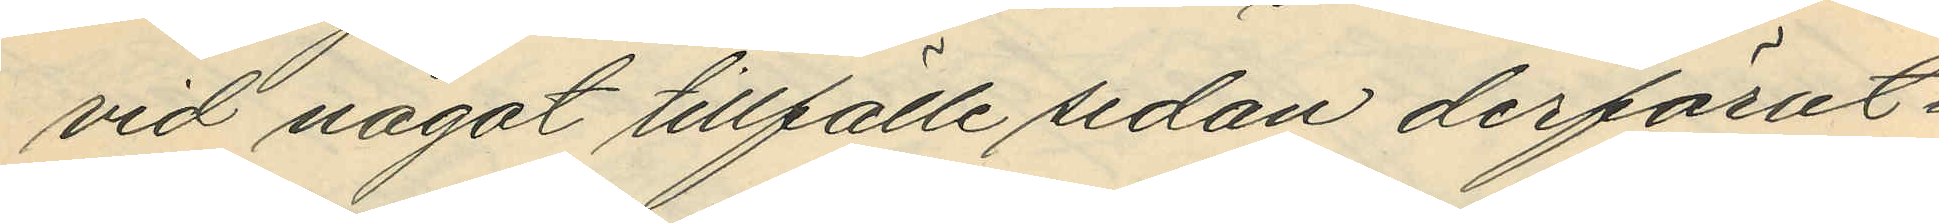vid något tillfälle sedan derförut¬
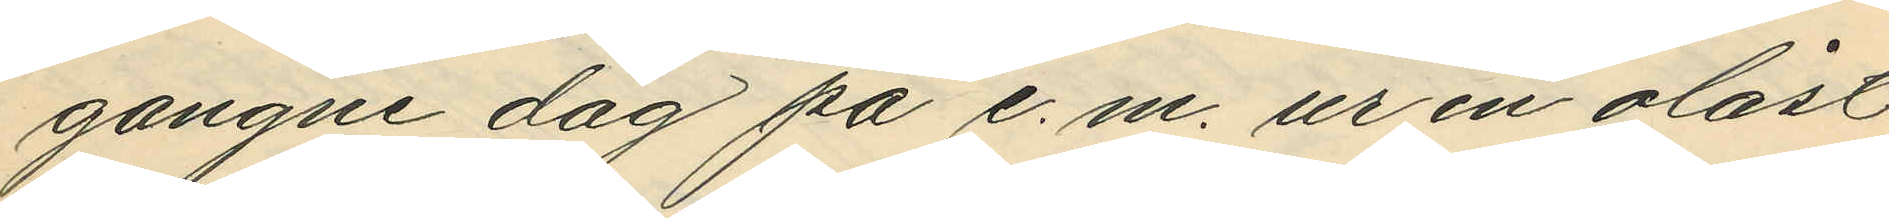gangne dag på e. m. ur en olåst
